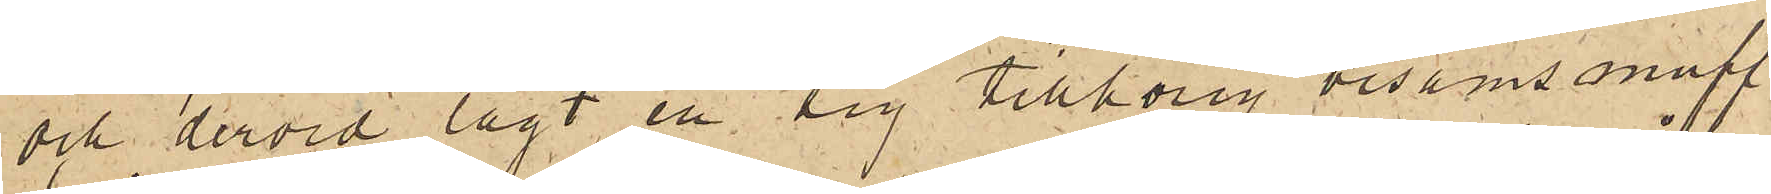och dervid lagt en sig tillhörig bisamsmuff
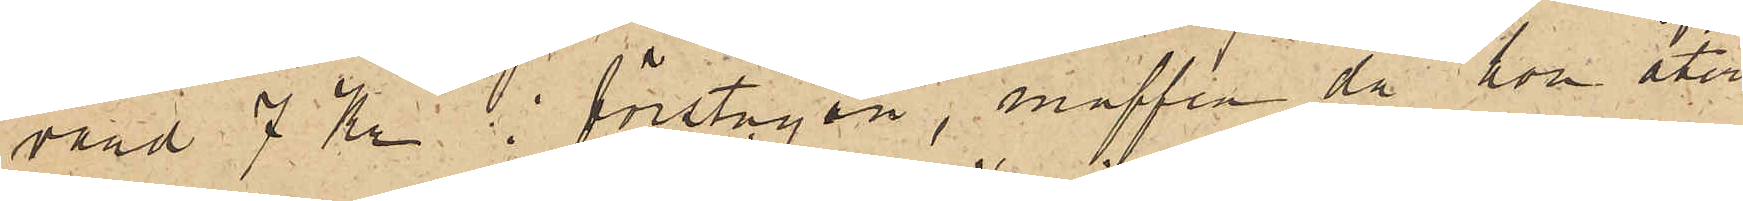värd 7 Kr i förstugan, muffen då hon åter
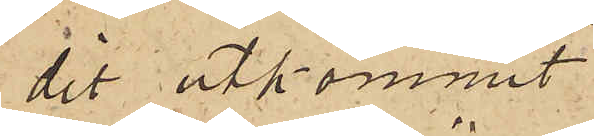dit utkommit
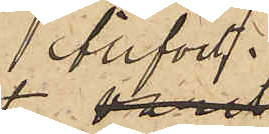blifvit
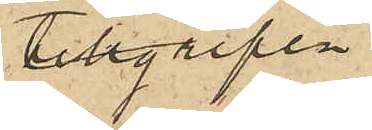tillgripen.
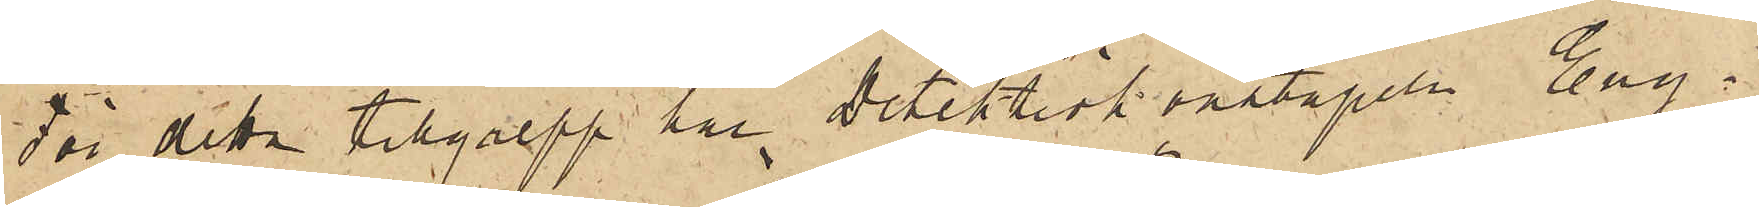För detta tillgrepp har detektivkonstapeln Eng¬
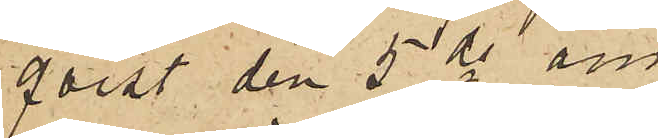qvist 5 ds an¬
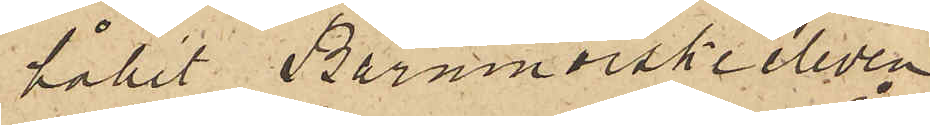hållit Barnmorskeeleven
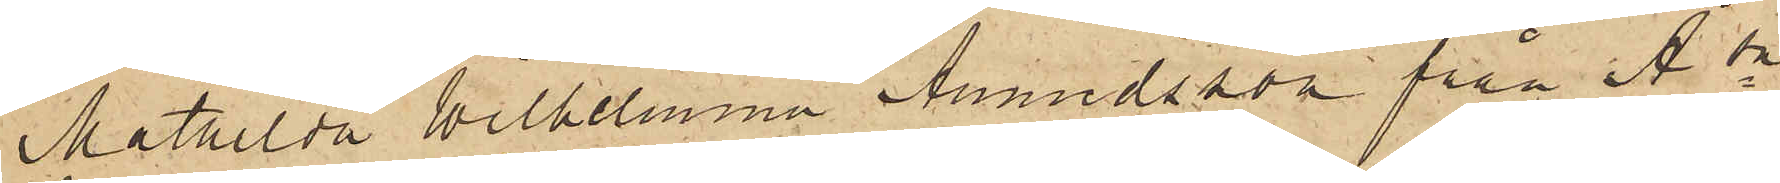Mathilda Wilhelmina Amundsson från Å sn
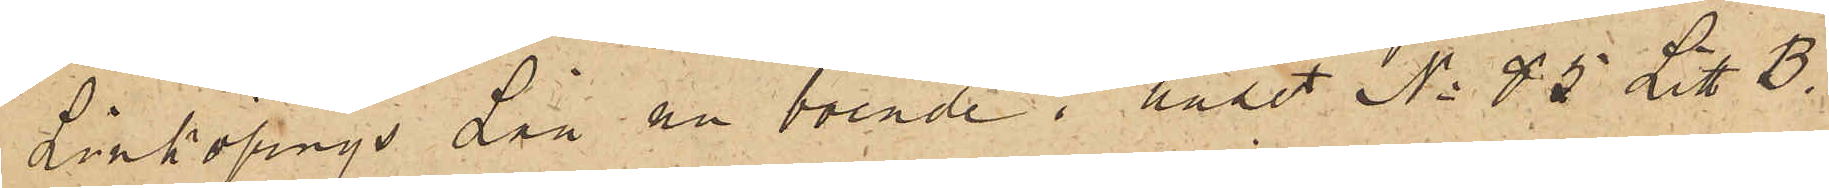Linköpings Län nu boende i huset No 85 Litt B
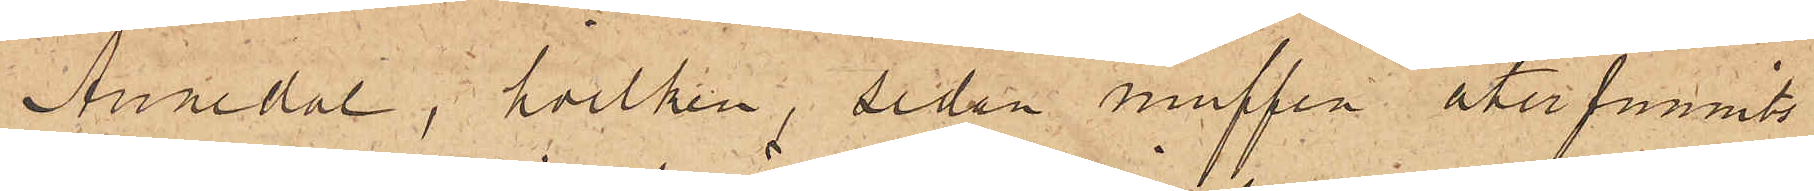Annedal, hvilken, sedan muffen återfunnits
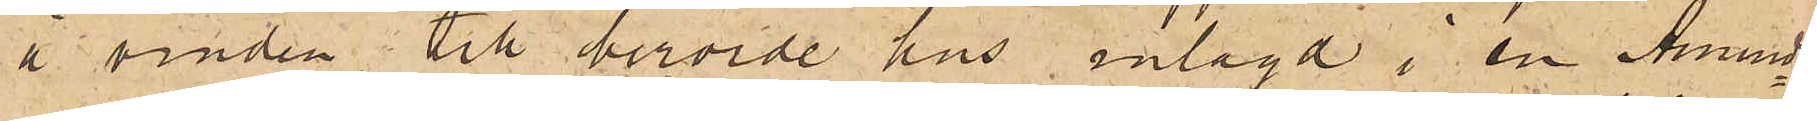å vinden till berörde hus inlagd i en Amund¬
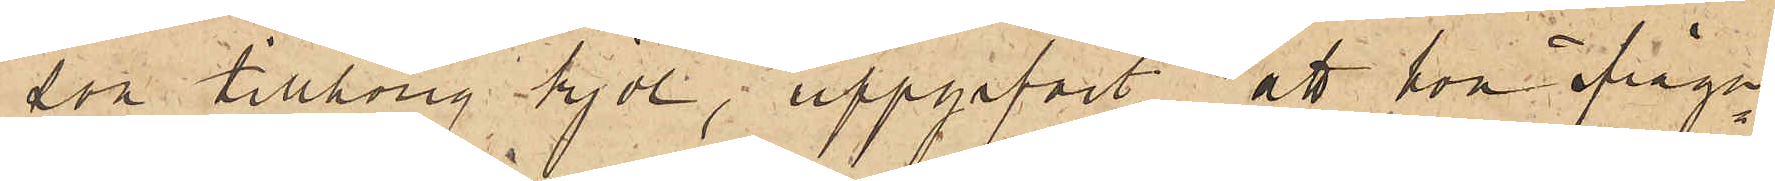son tillhörig kjol, uppgifvit, att hon ifråga¬
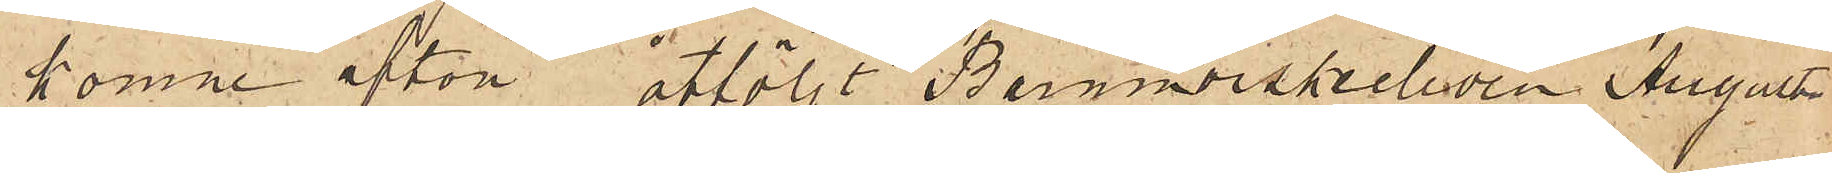komne afton åtföljt Barnmorskeeleven Augusta
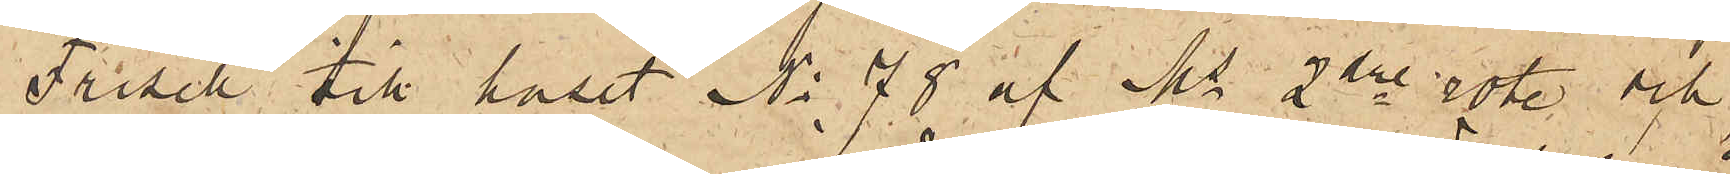Frisell till huset No 78 af Ms 2dre rote och
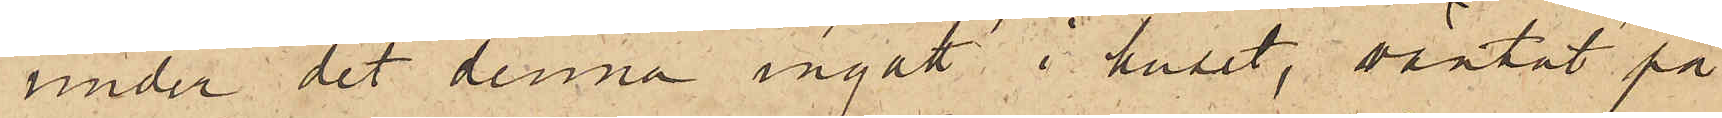under det denna ingått i huset, väntat på
